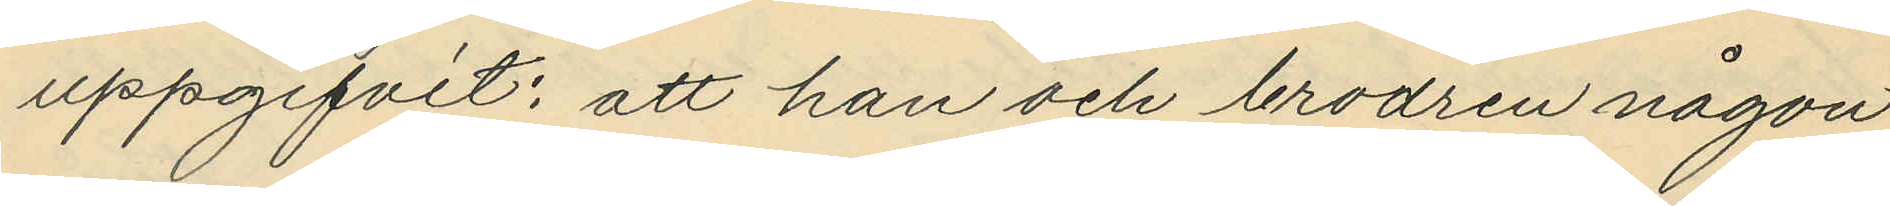uppgifvit: att han och brodren någon
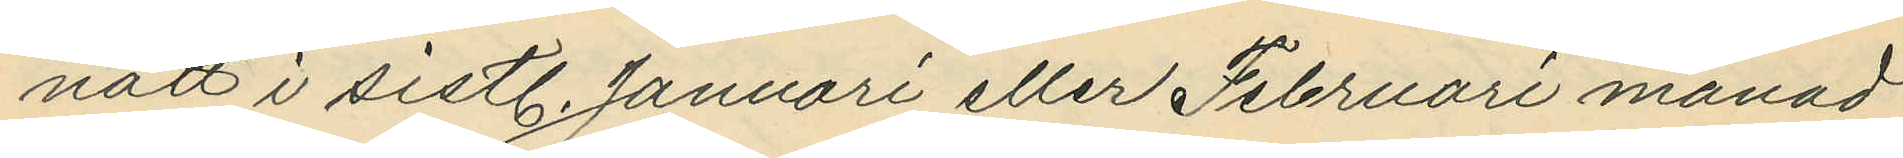natt i sistl. Januari eller Februari månad
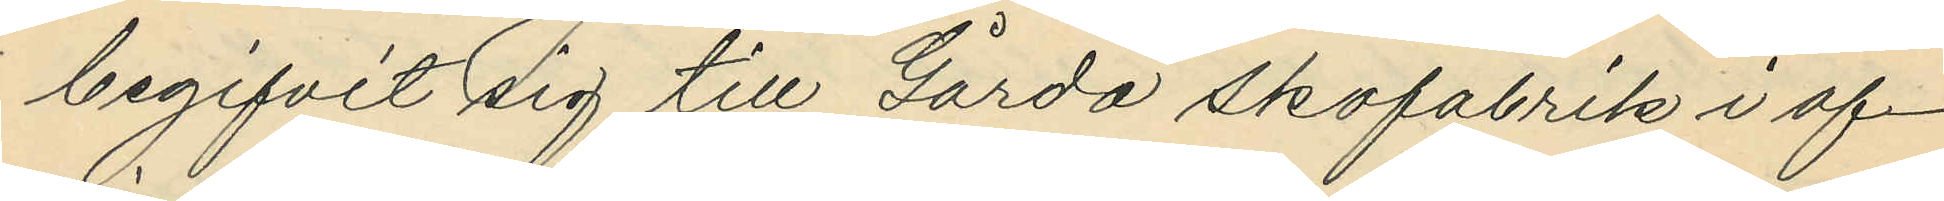begifvit sig till Gårda Skofabrik i af¬
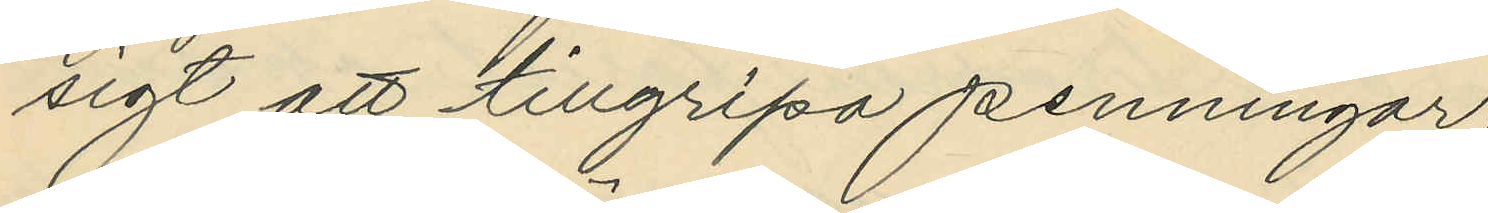sigt att tillgripa penningar;
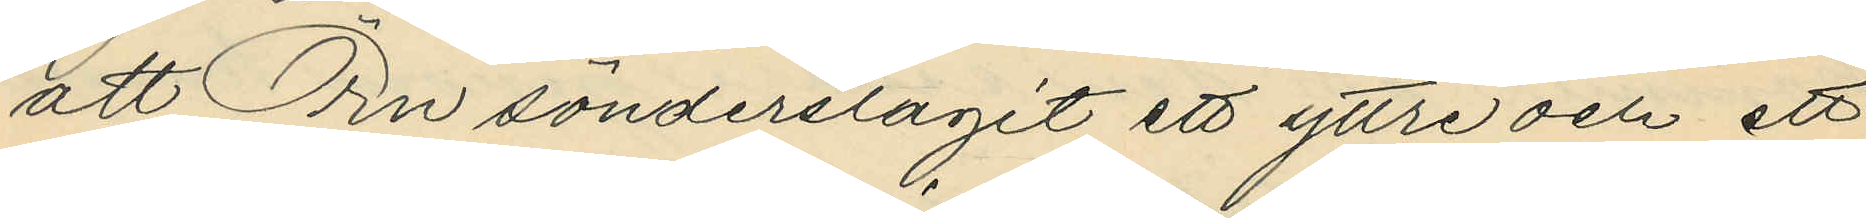att Örn sönderslagit ett yttre och ett
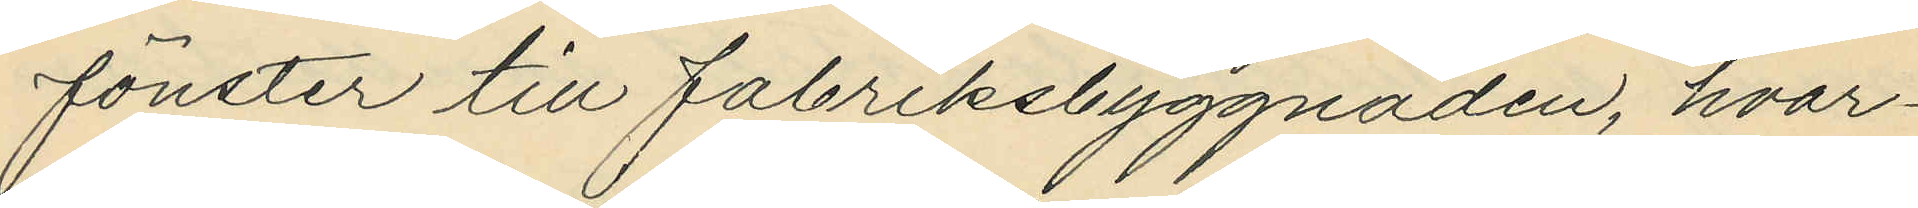fönster till fabriksbyggnaden, hvar¬
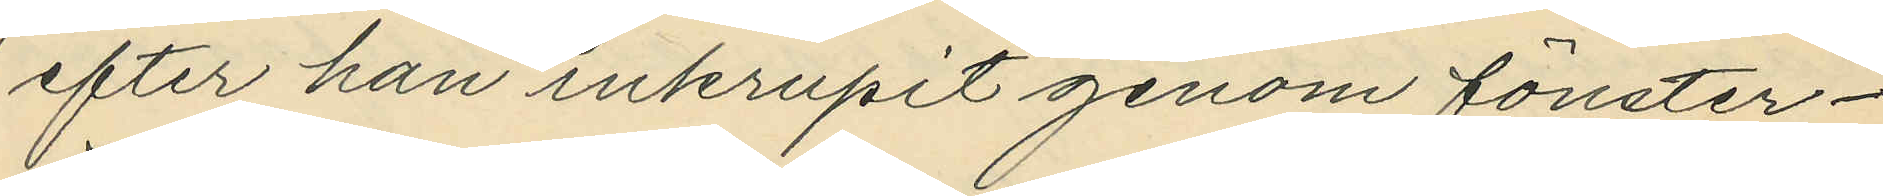efter han inkrupit genom fönster¬
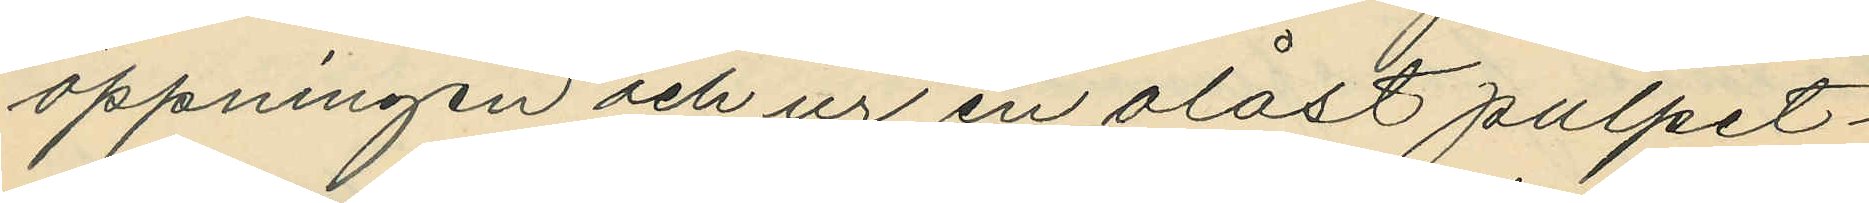öppningen och ur en olåst pulpet¬
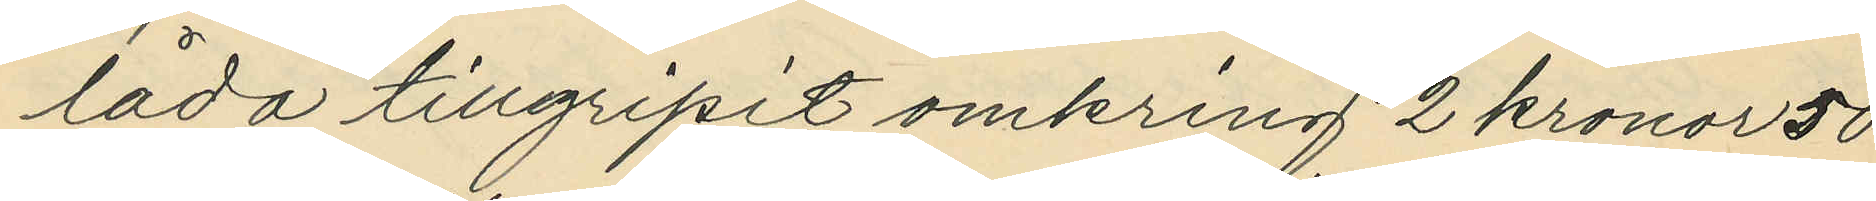låda tillgripit omkring 2 kronor 50
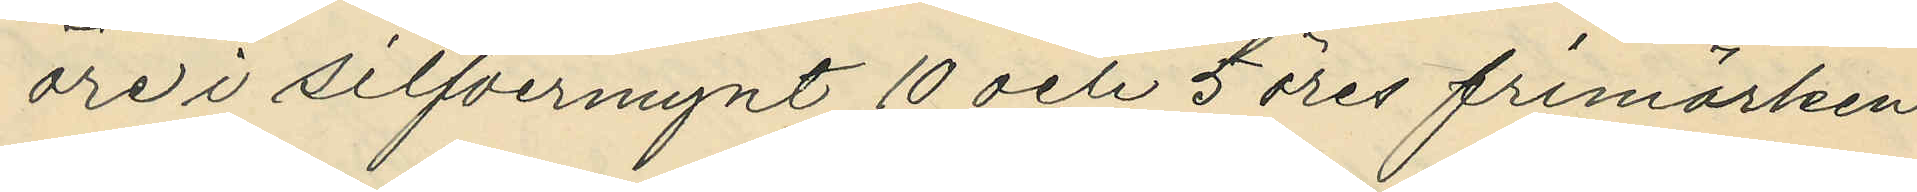öre i silfvermynt 10 och 5 öres frimärken
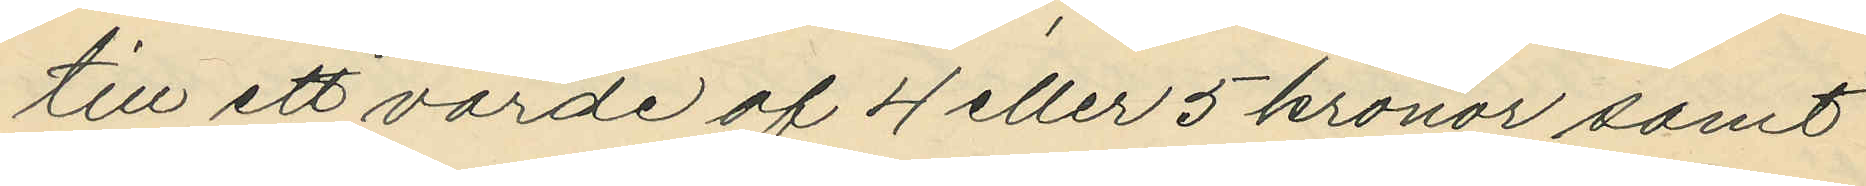till ett värde af 4 eller 5 kronor samt
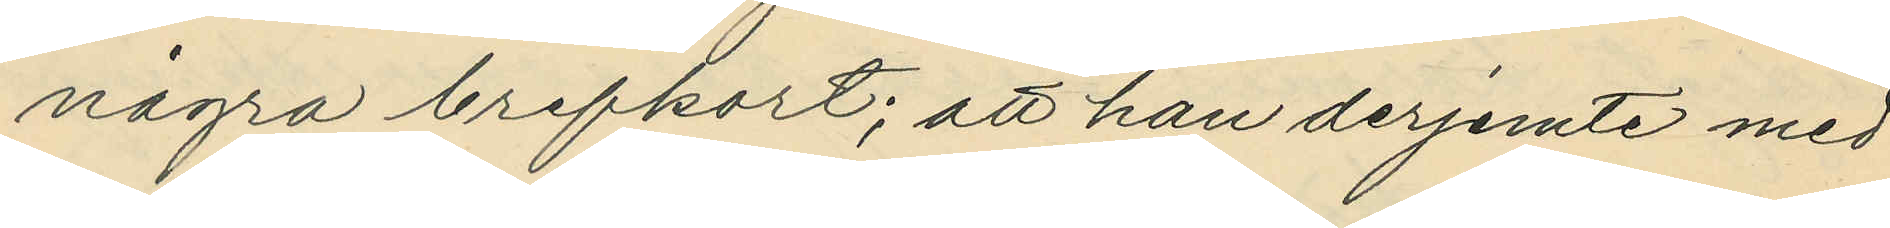några brefkort; att han derjemte med
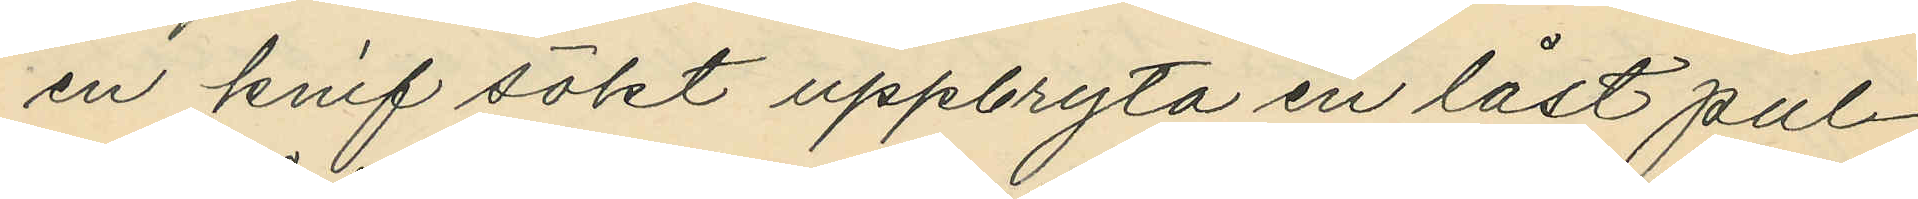en knif sökt uppbryta en låst pul¬
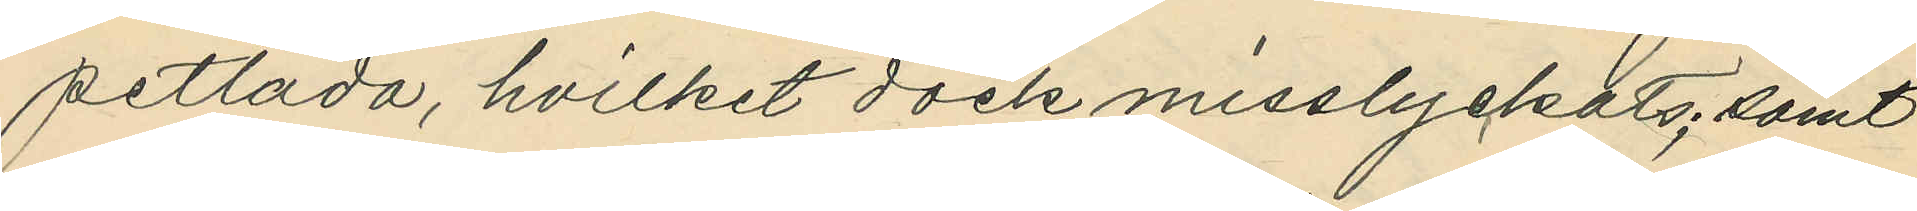petlåda, hvilket dock misslyckats; samt
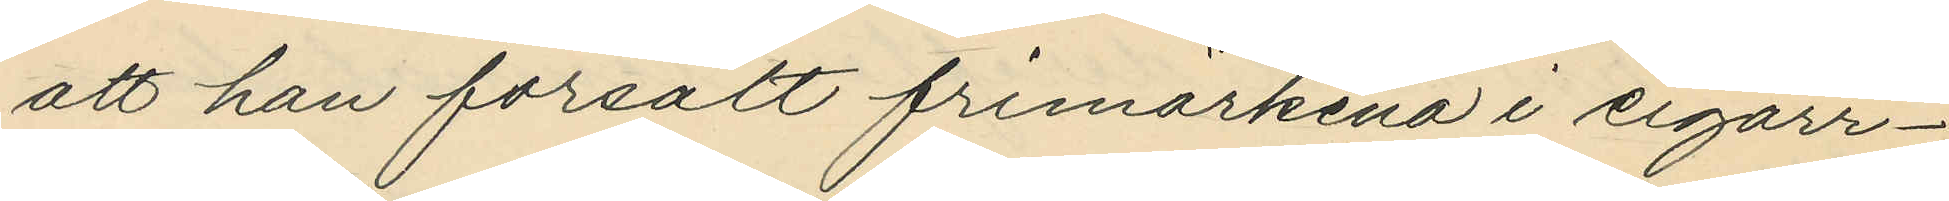att han försålt frimärkena i cigarr¬
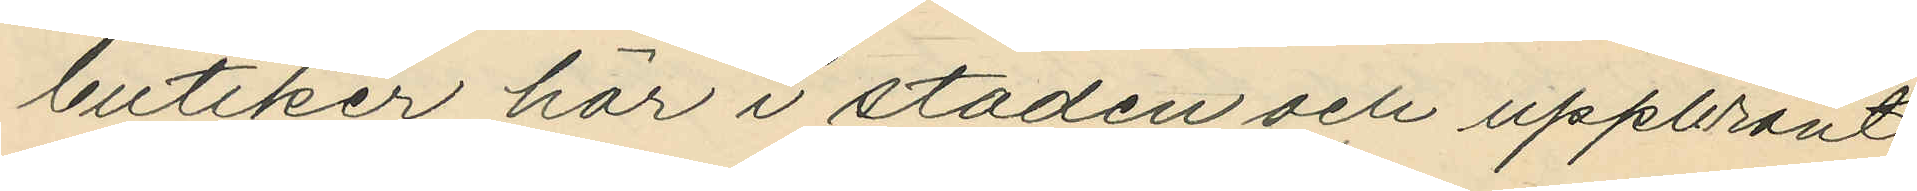butiker här i staden och uppbränt
